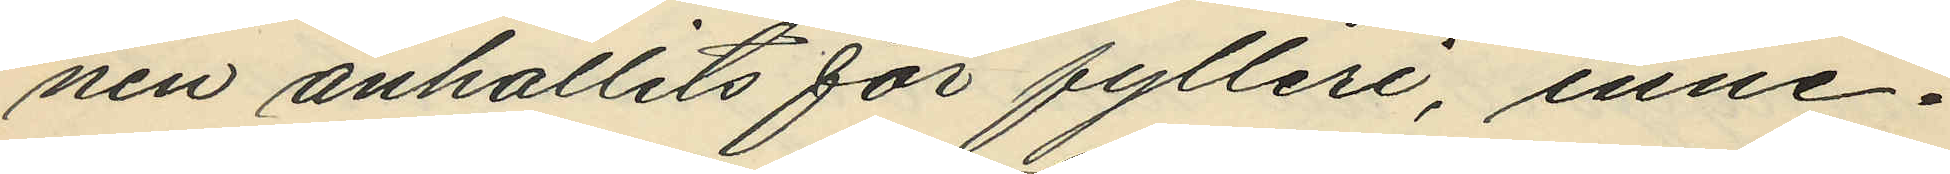nen anhållits för fylleri, inne¬
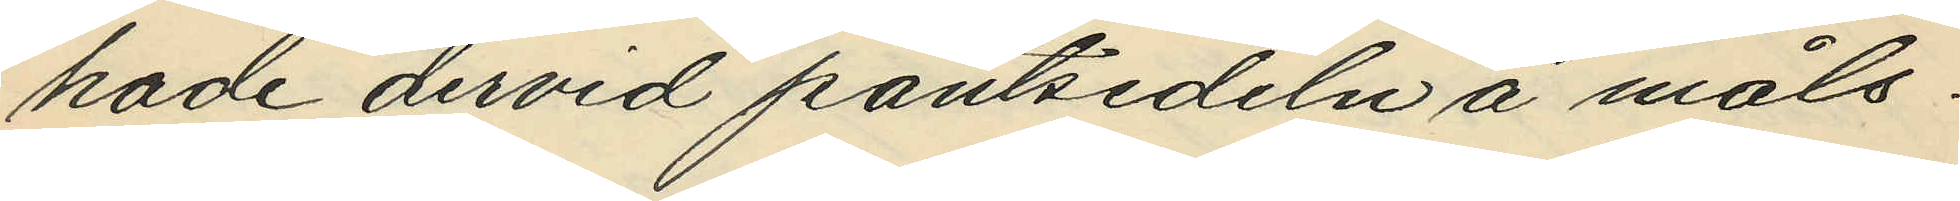hade dervid pantsedeln å måls¬
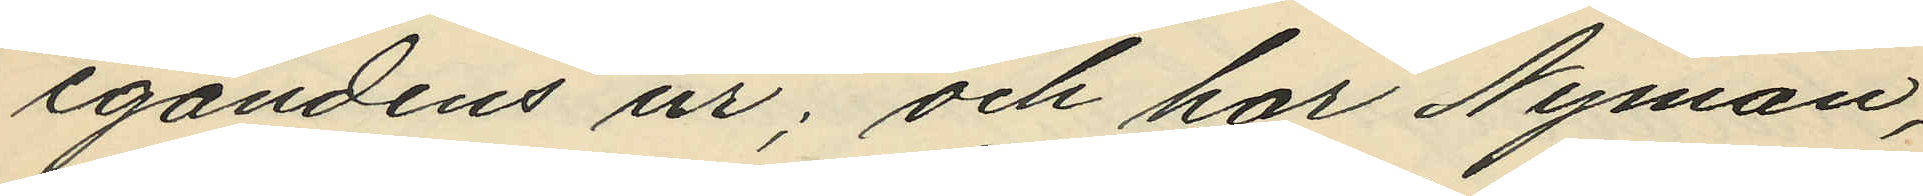egandens ur; och har Nyman,
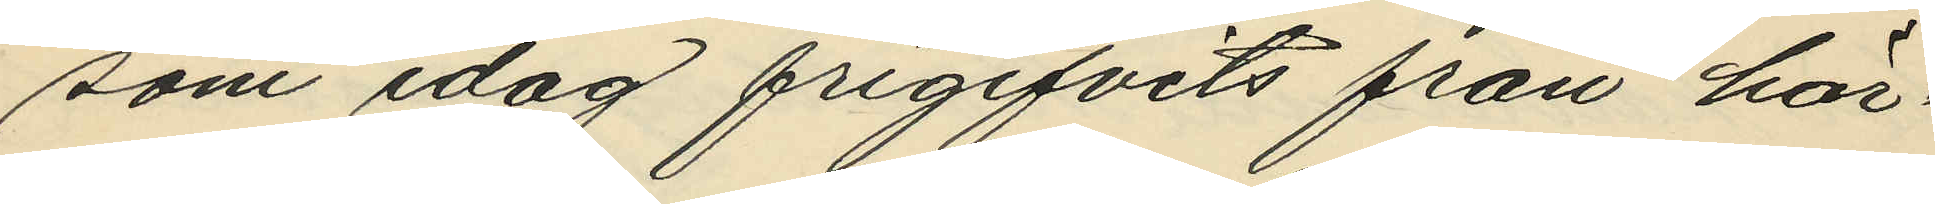som idag frigifvits från här¬
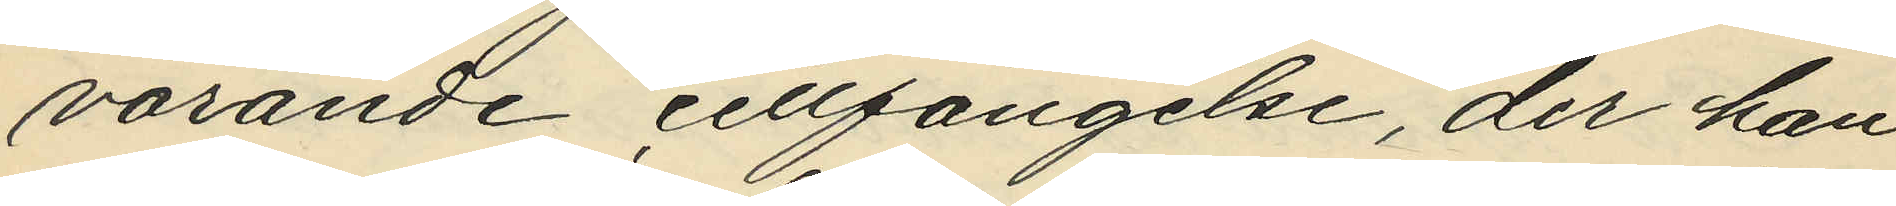varande cellfängelse, der han
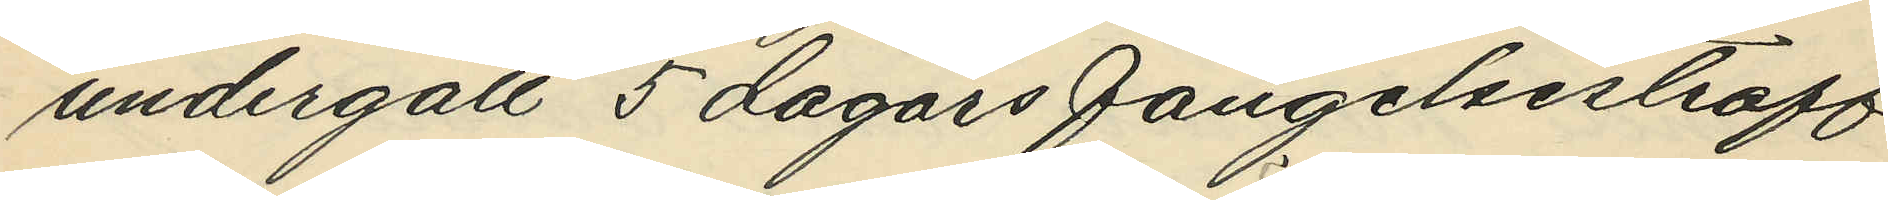undergått 5 dagars fängelsestraff
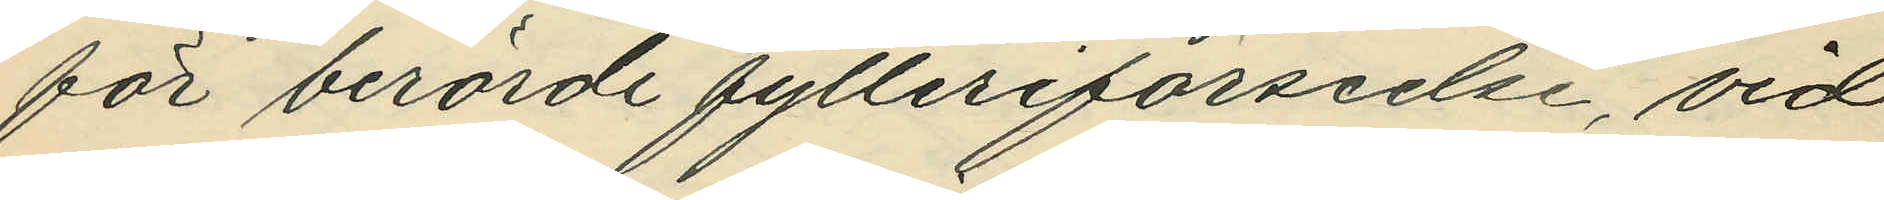för berörde fylleriförseelse, vid
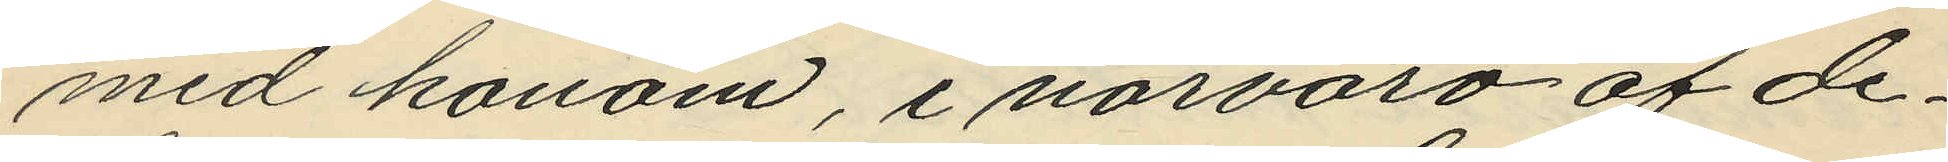med honom, i närvaro af de¬
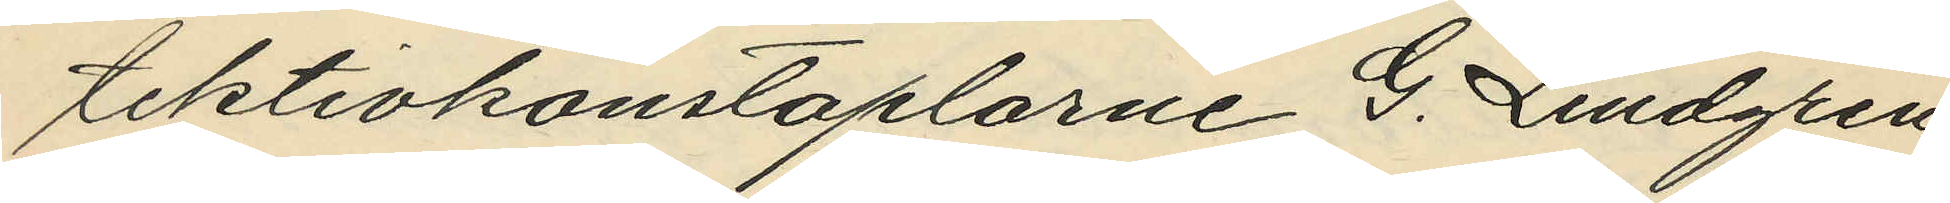tektivkonstaplarne G. Lindgren
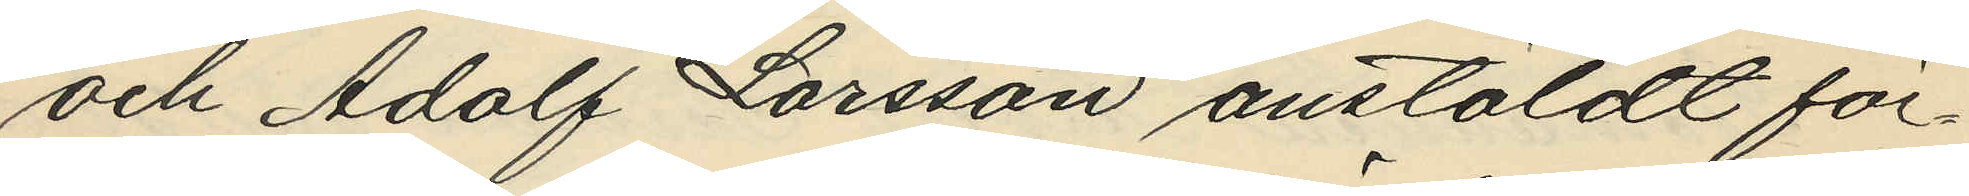och Adolf Larsson anstäldt för¬
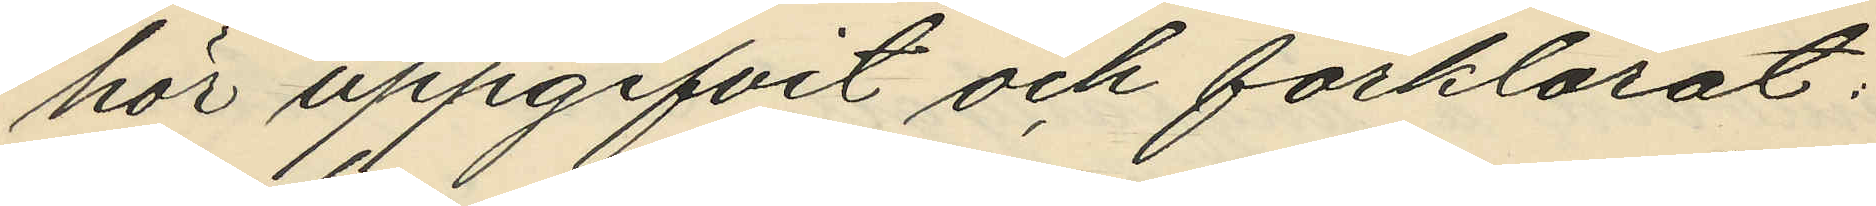hör uppgifvit och förklarat:
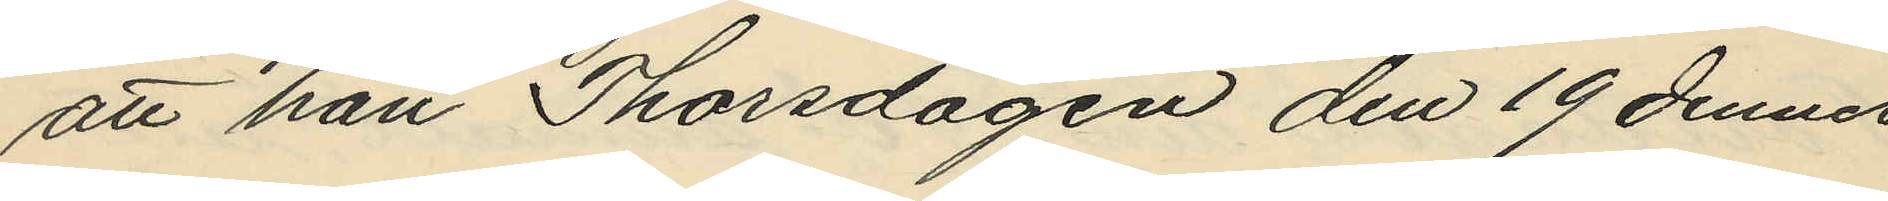att han Thorsdagen den 19 dennes
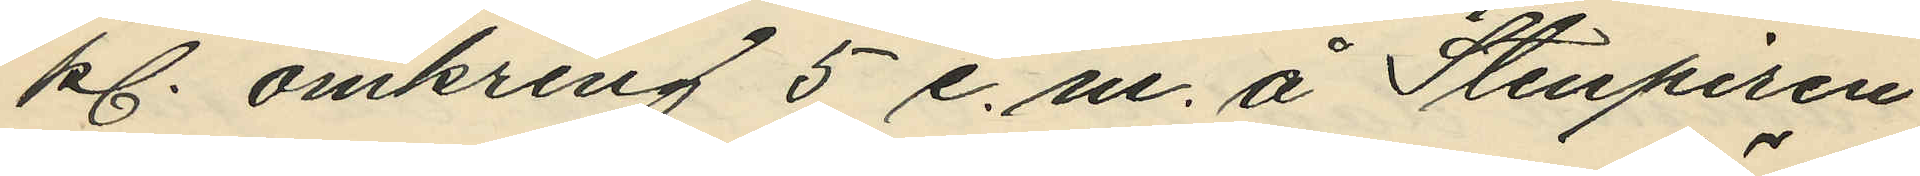kl. omkring 5 e.m. å Stenpiren
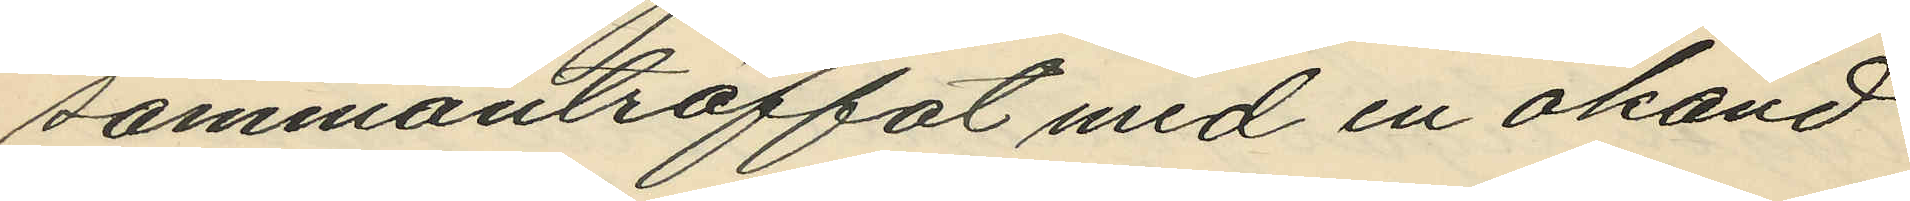sammanträffat med en okänd
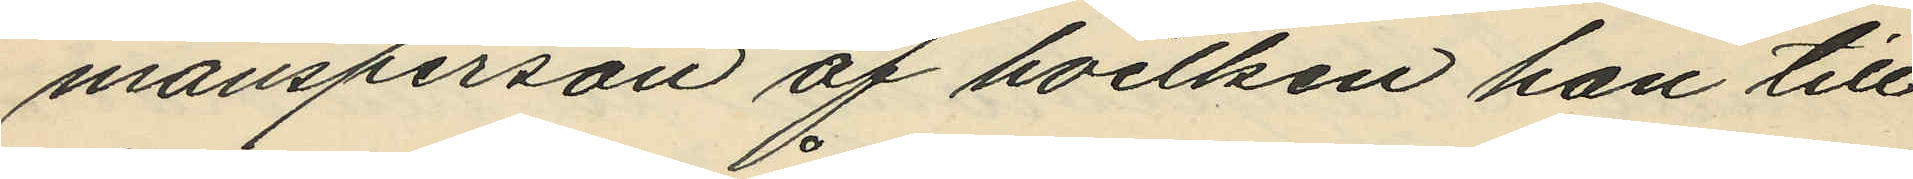mansperson af hvilken han till
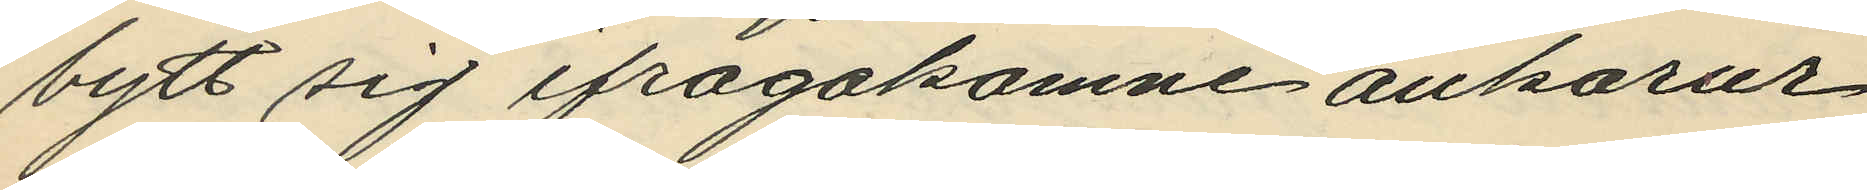bytt sig ifrågakomne ankarur
